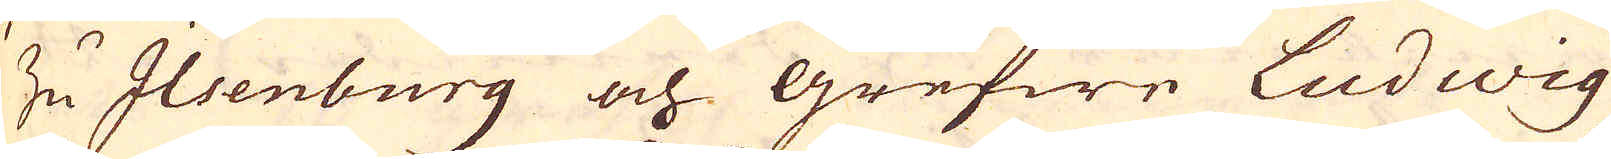Zu Ilsenburg och grefwe Ludwig
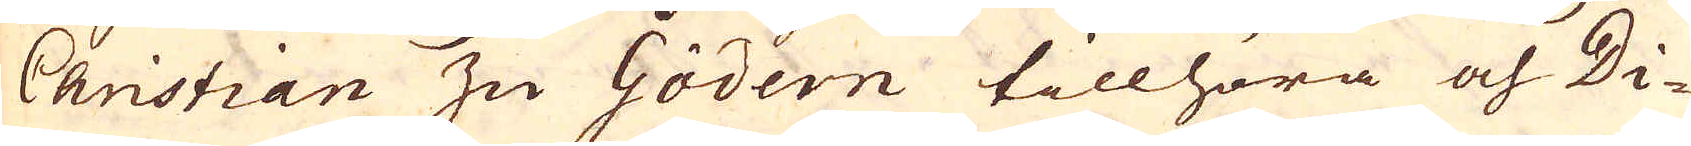Christian zu Gödern tillhöra och Di-
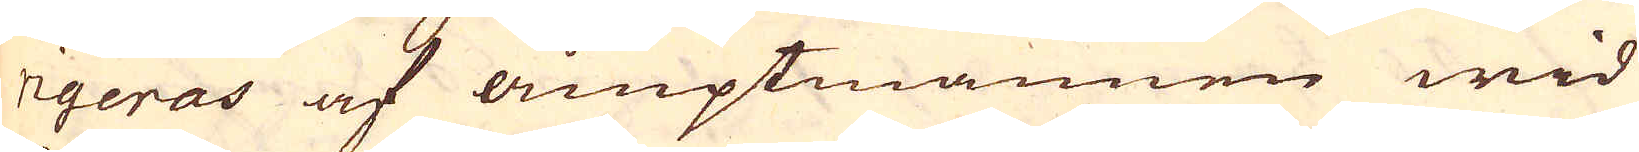rigeras af amptmannen wid
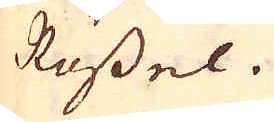Rössel.
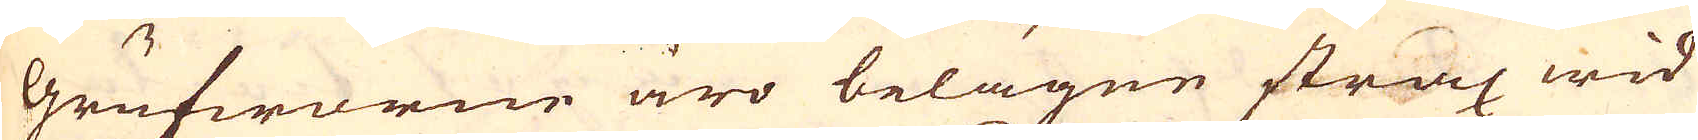Grufworne äro belägne strax wid
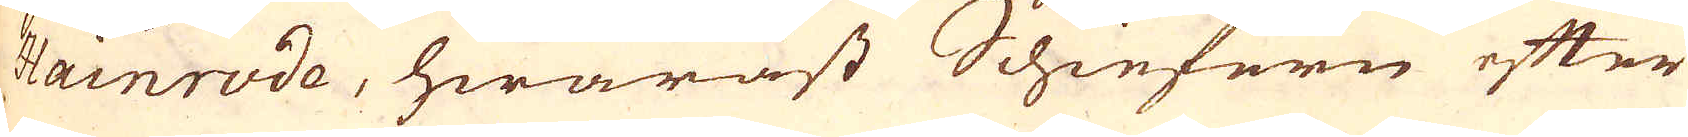Hainrode, hwaräst Schiefern efter
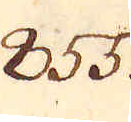855.
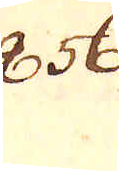856.
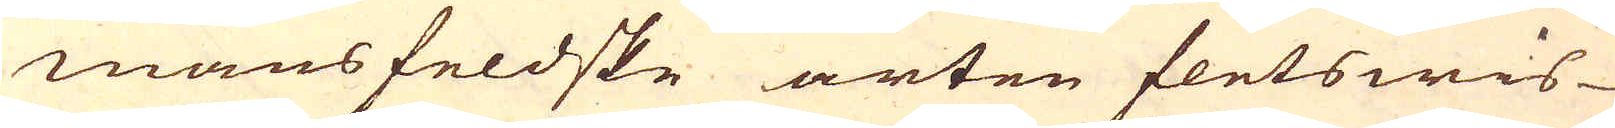mansfeldske arten fletswis
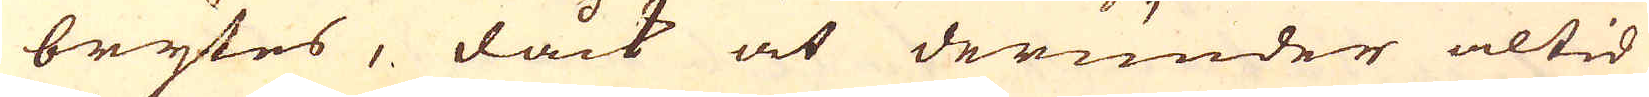brytes, dåck at derunder altid
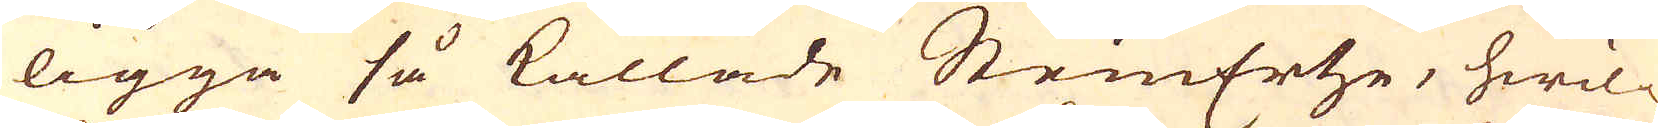ligga så kallade SteinErtze, hwil-
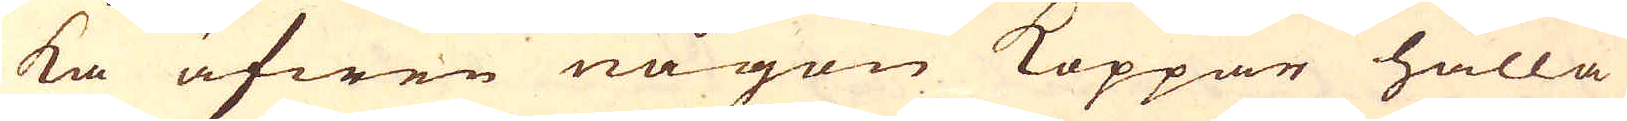ka äfwen någon Koppar hålla
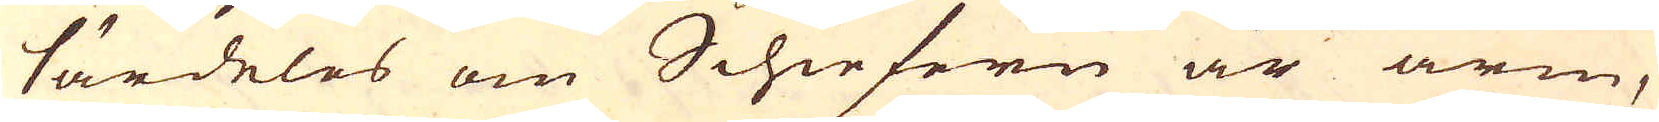särdeles om Schiefern är arm,
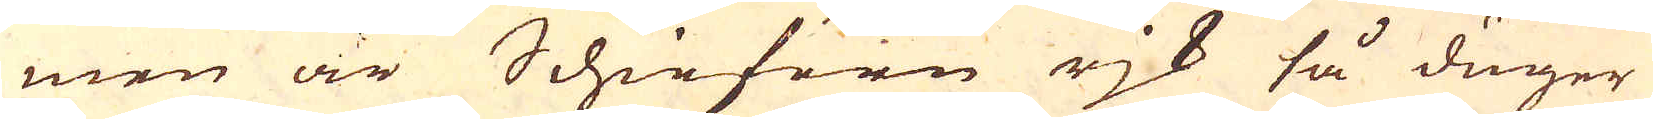men är Schiefern rjk så duger
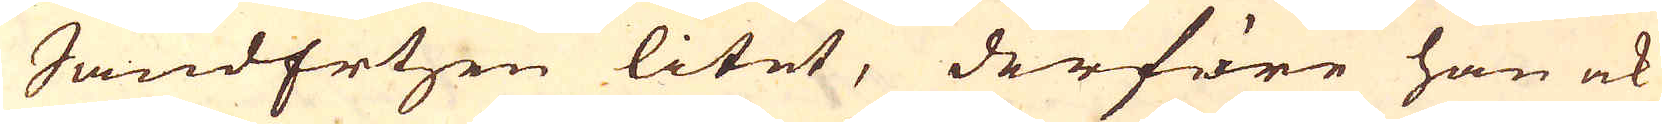SandErtzen litet, derföre han ock
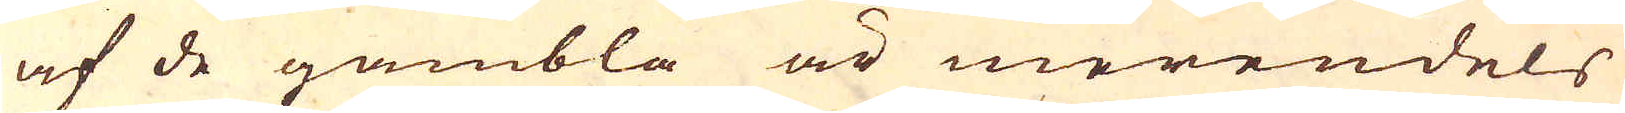af de gambla är merendels
